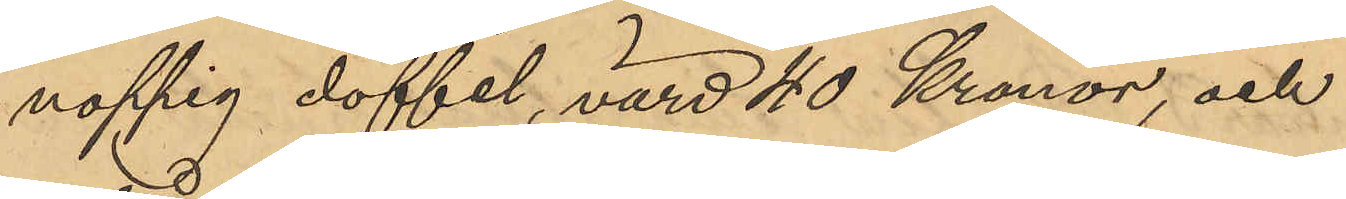noppig doffel, värd 40 Kronor, och
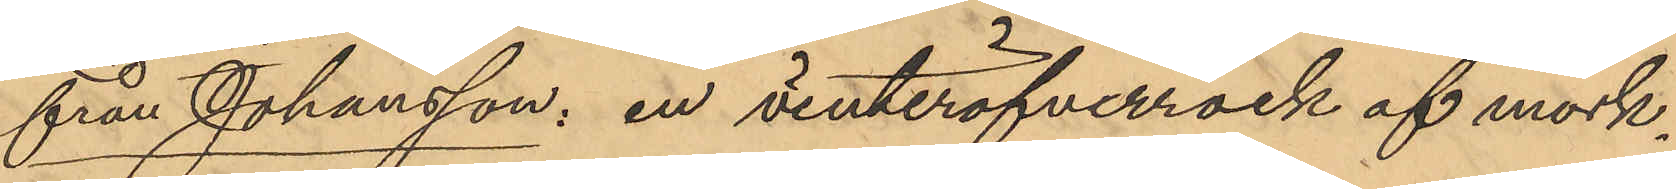från Johansson: en vinteröfverrock af mörk¬
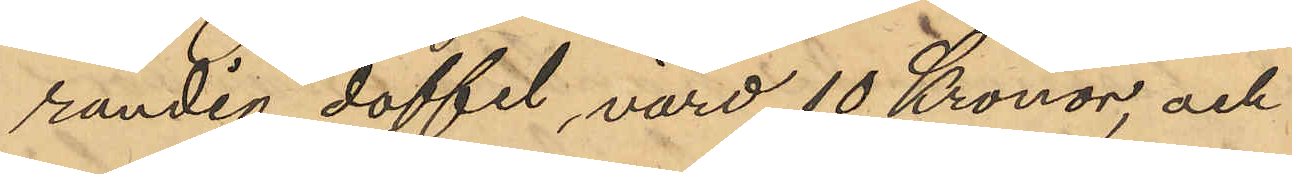randig doffel, värd 10 Kronor, och
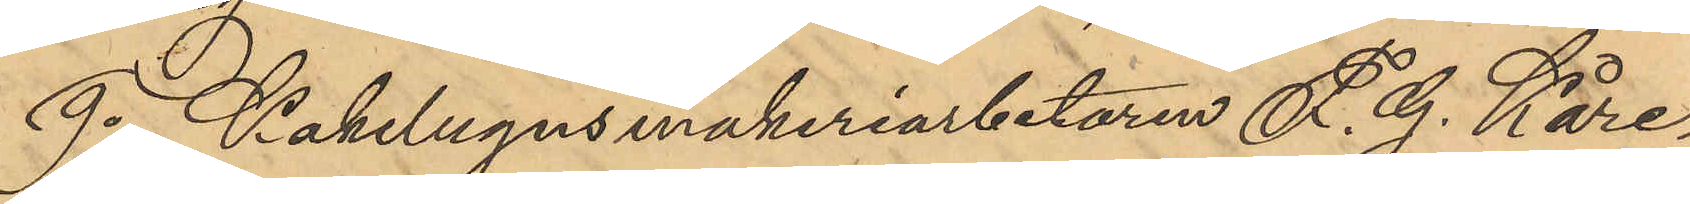9o Kakelugnsmakeriarbetaren F. G. Kare¬
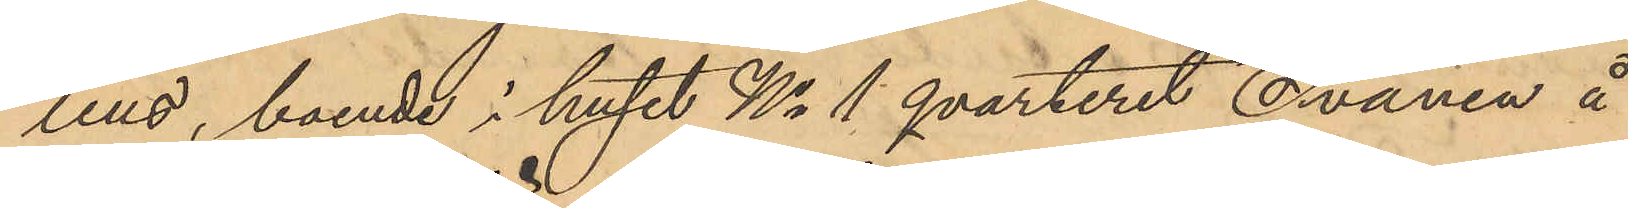lius, boende i huset No 1 qvarteret Svanen å
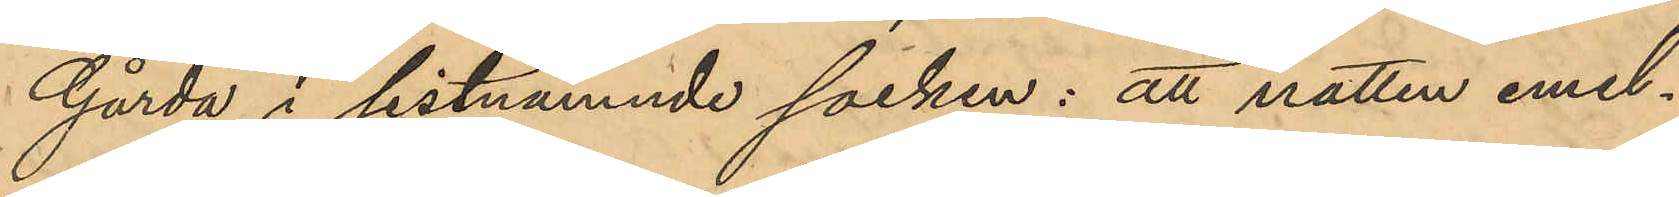Gårda i sistnämnde socken: att natten emel¬
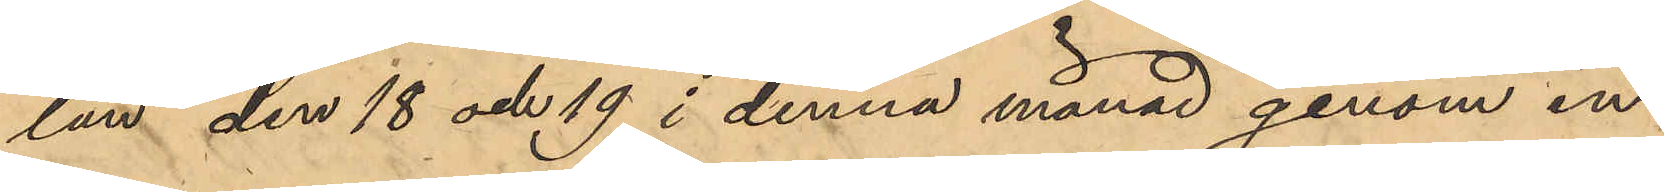lan den 18 och 19 i denna månad genom in¬
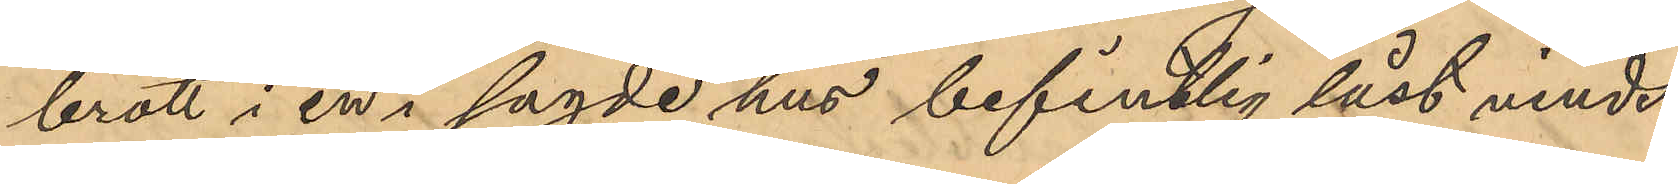brott i en i sagde hus befintlig låst vinds¬
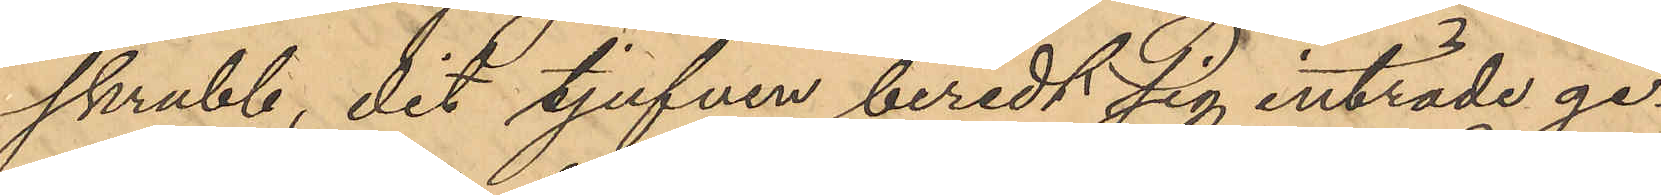skrubb, dit tjufven beredt sig inträde ge¬
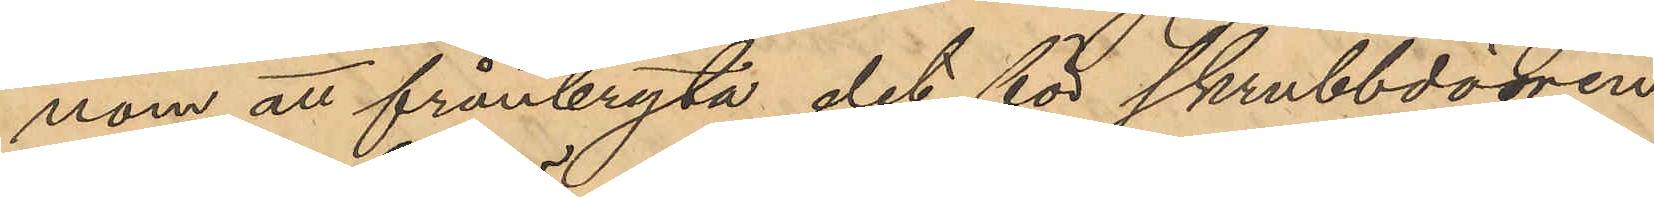nom att frånbryta det för skrubbdörren
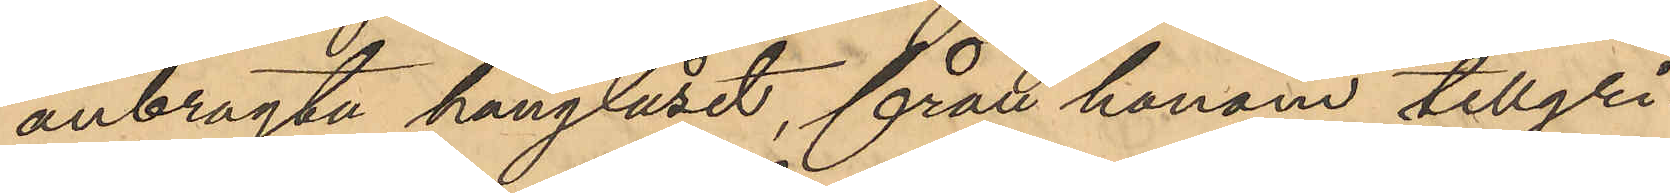anbragta hänglåset, från honom tillgri¬
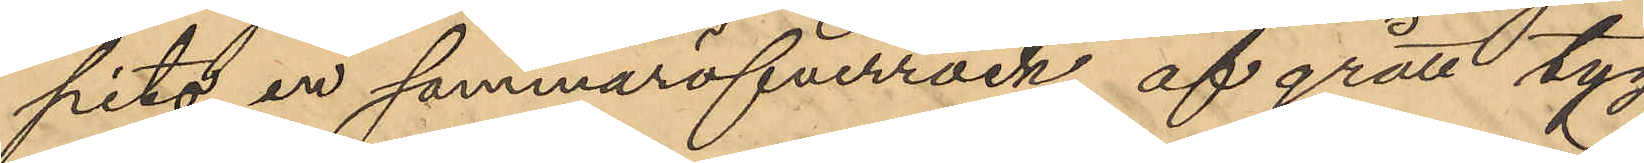pits en sommaröfverrock af grått tyg
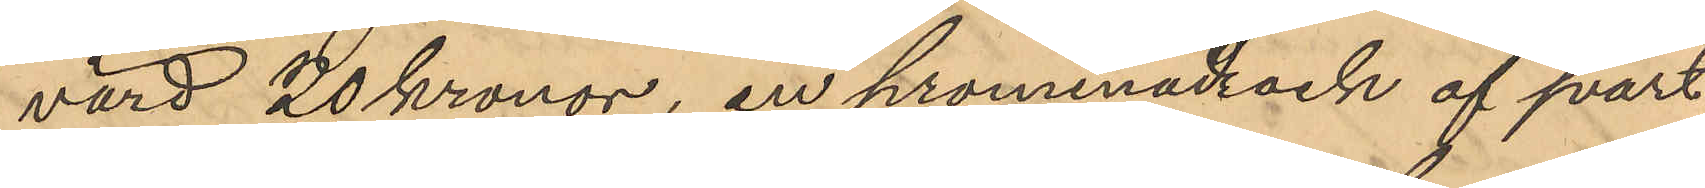värd 20 kronor, en promenadrock af svart
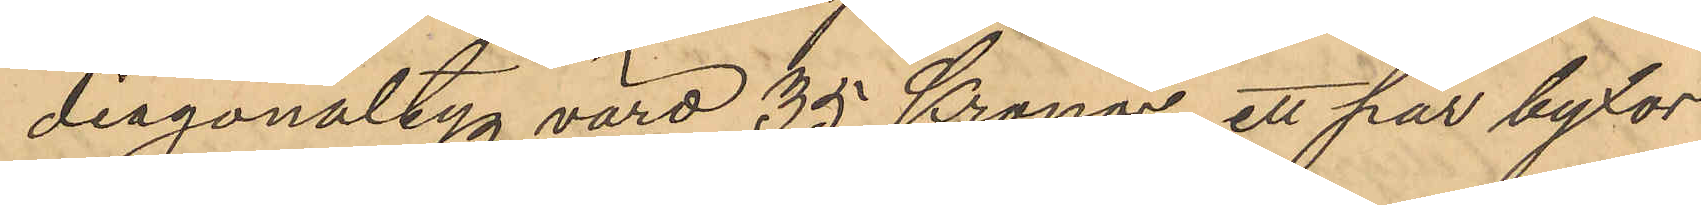diagonaltyg värd 35 Kronor, ett par byxor
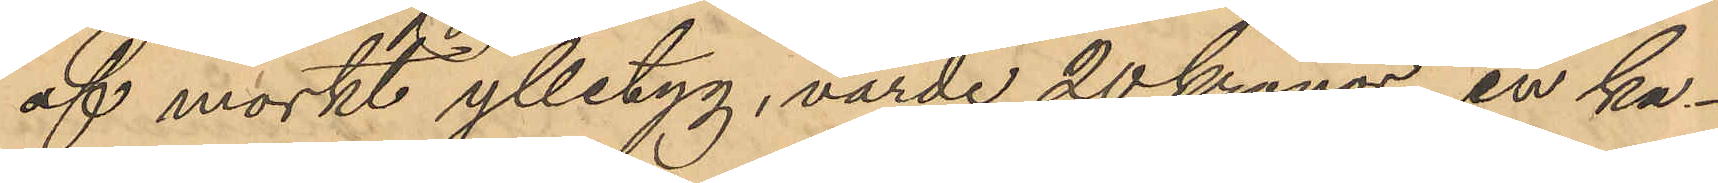af mörkt ylletyg, värde 20 kronor, en ka¬
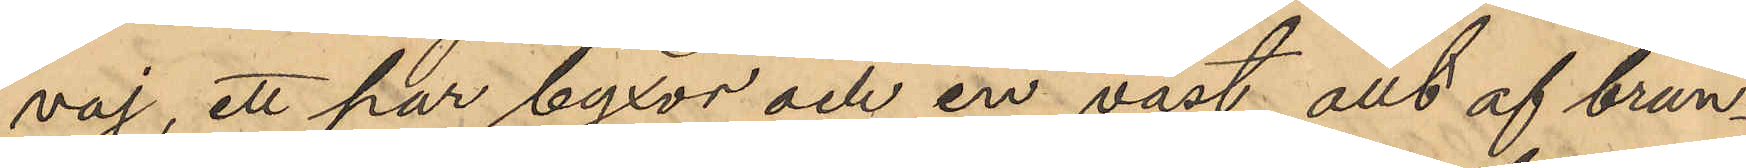vaj, ett par byxor och en väst, allt af brun¬
